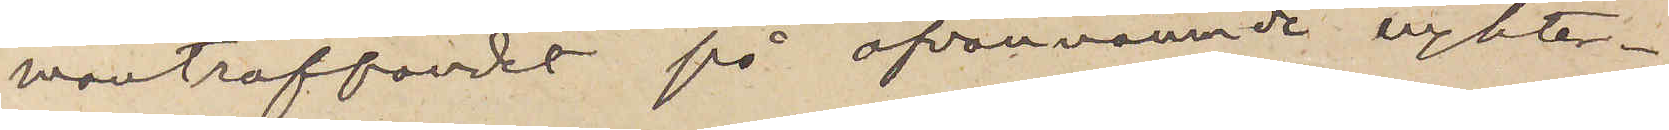manträffandet på ofvannämnde nykter¬
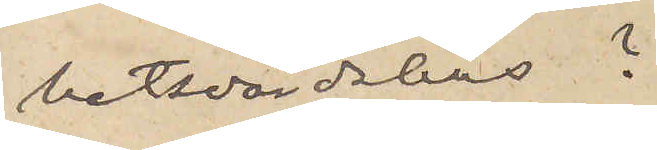hetsvärdshus?
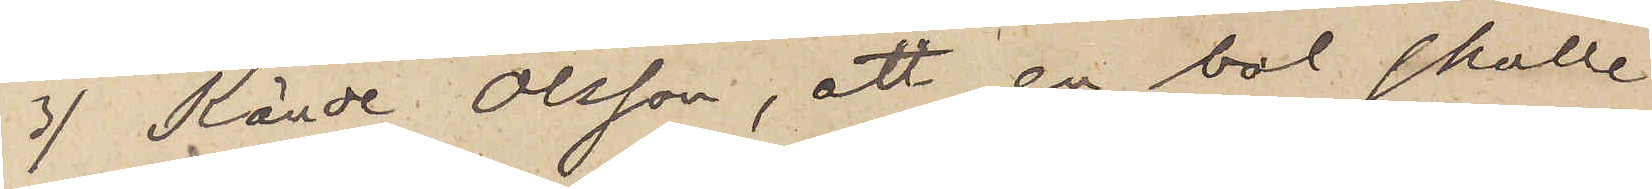3) Kände Olsson, att en bal skulle
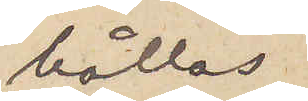hållas
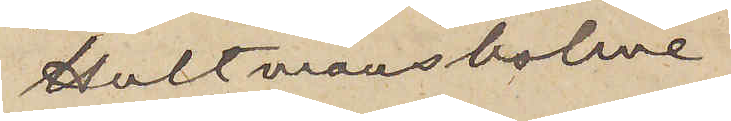å Hultmansholme
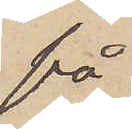på
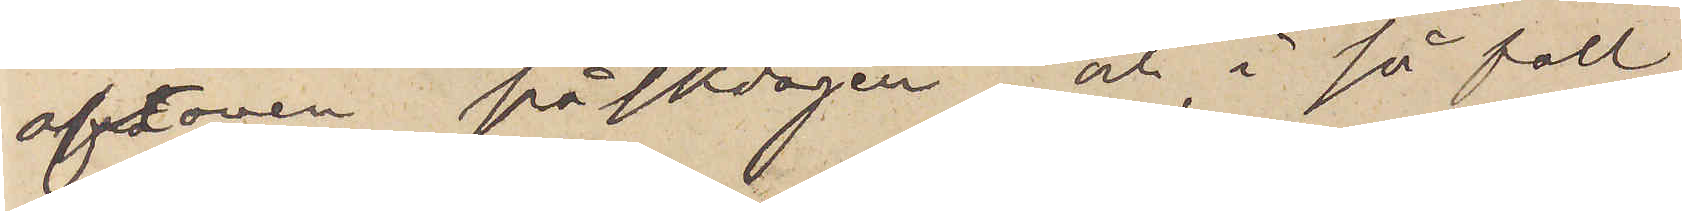aftonen påskdagen och, i så fall,
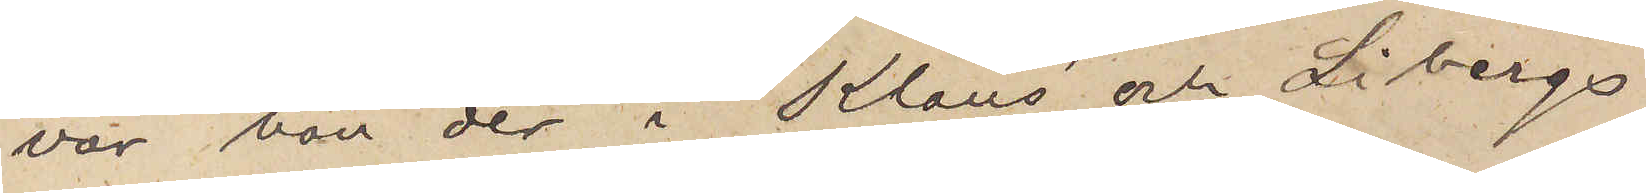var han der i Klaus´ och Libergs
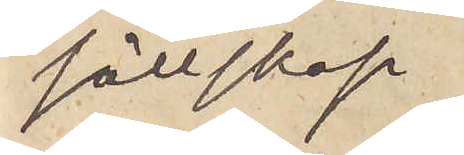sällskap
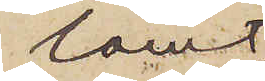samt
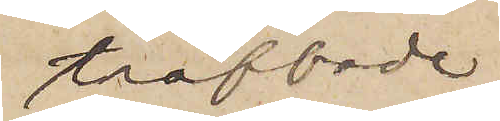träffade
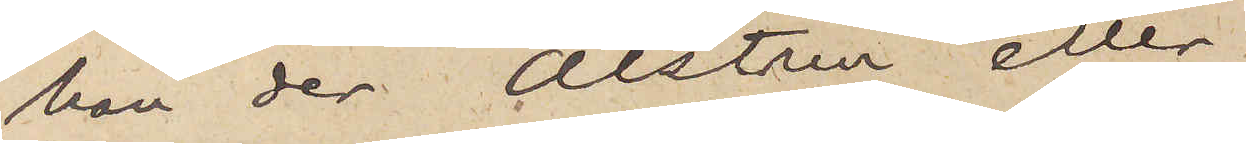han der Alstrin eller
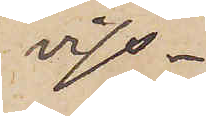viss¬
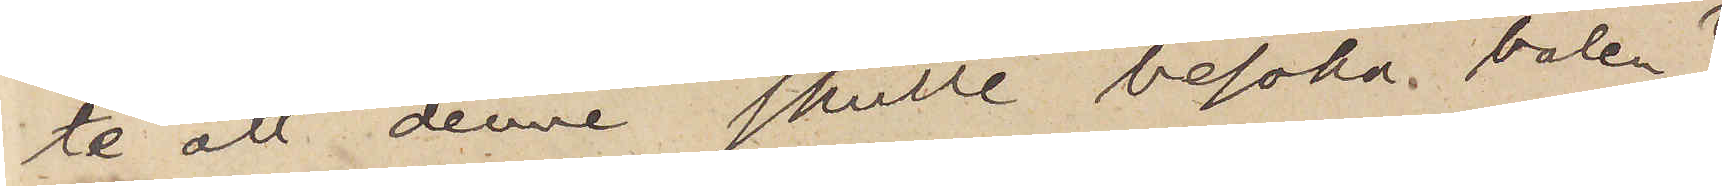te, att denne skulle besöka balen?
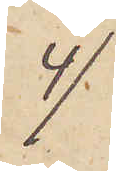4)
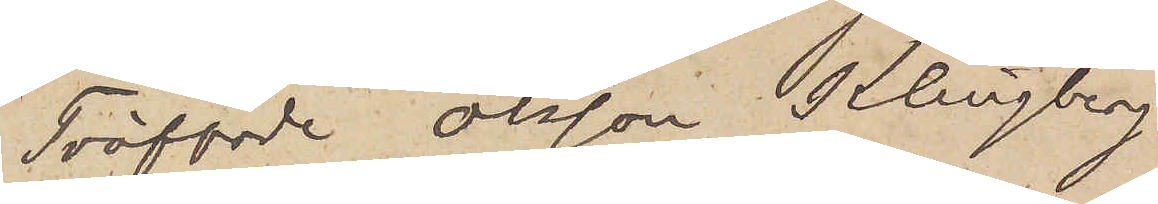Träffade Olsson Klingberg
